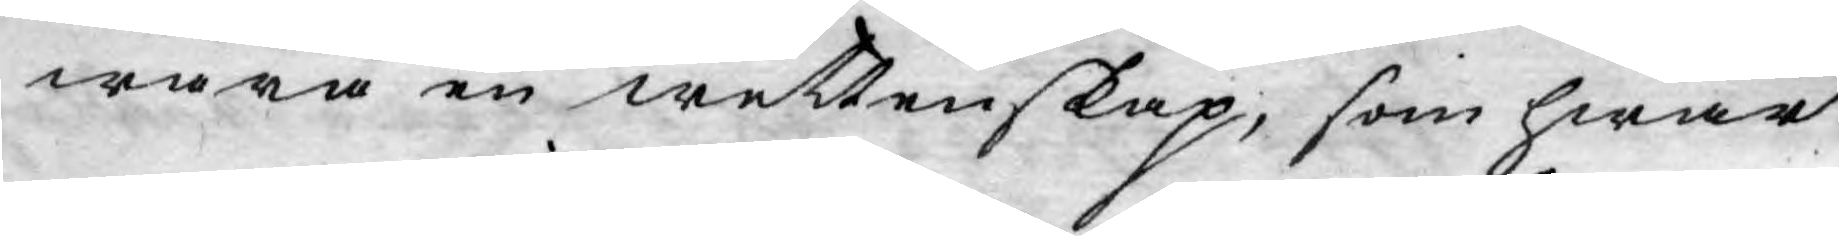wara en wettenskap, som hwar
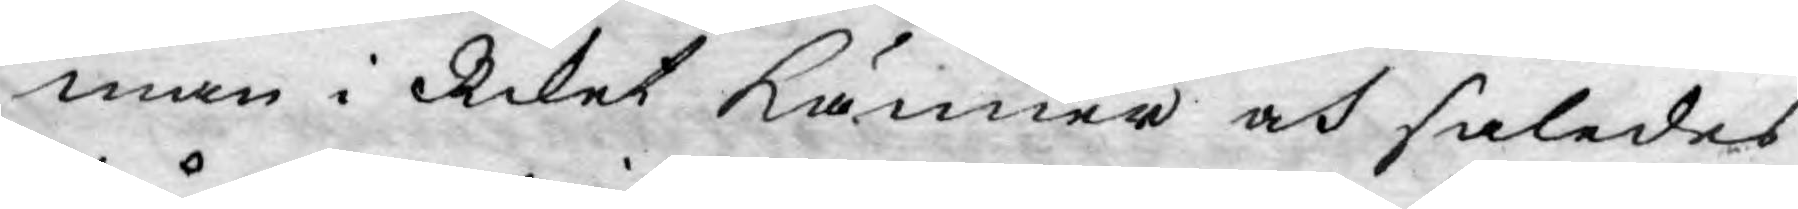man i Riket känner och således
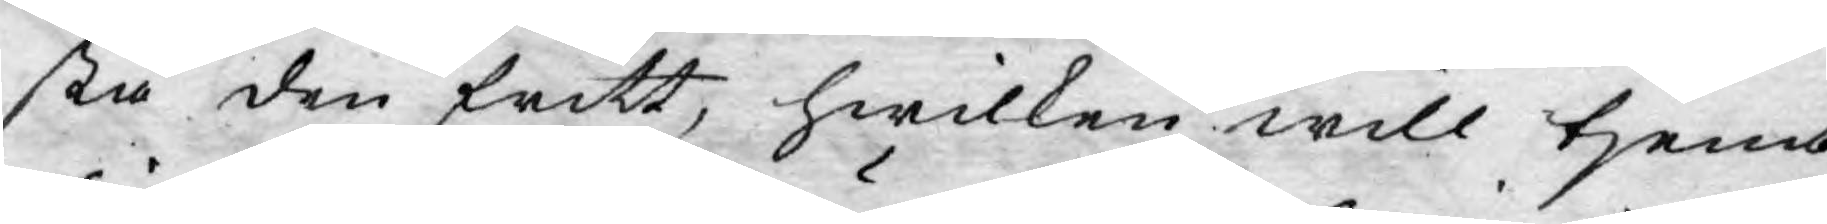stå den fritt, hwilken will tjena
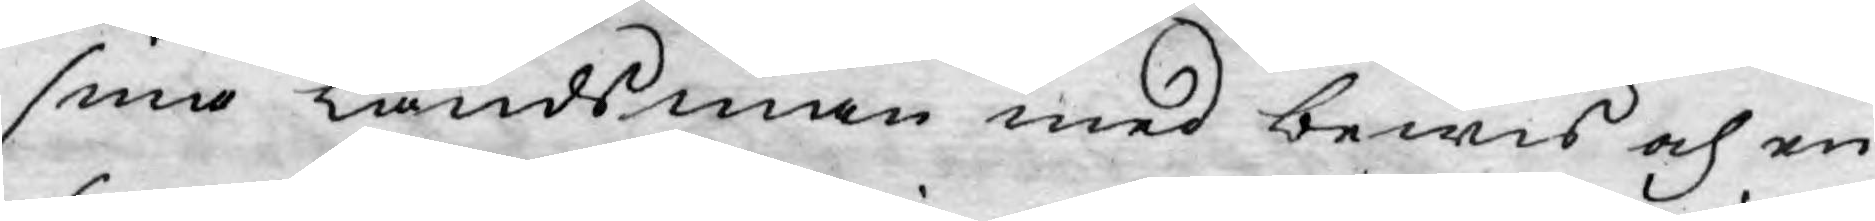sine Landsmän med bewis och en
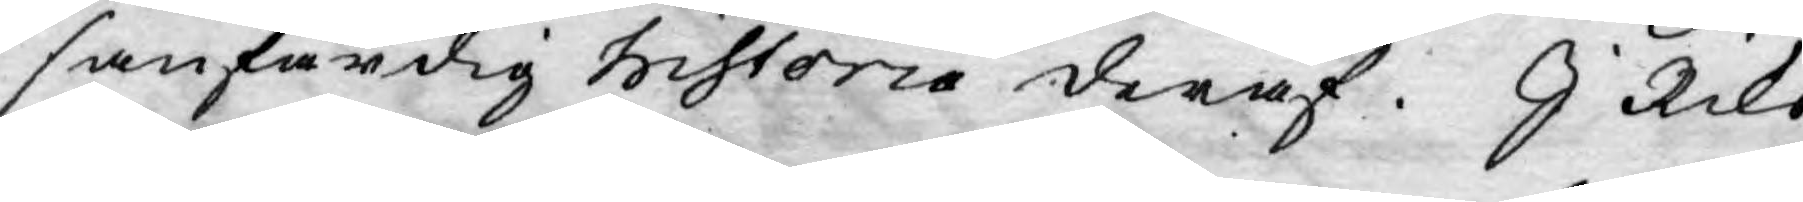sanfärdig Historia deraf. I Riks
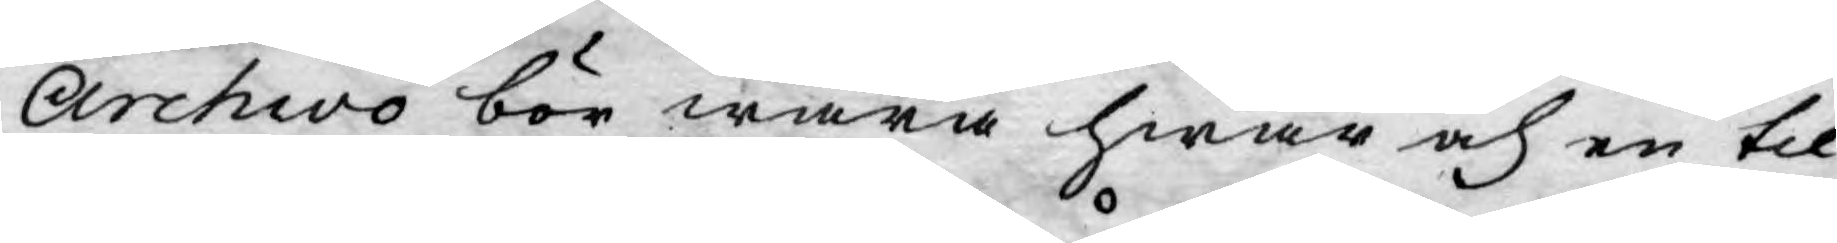Archivo bör wara hwar och en til¬
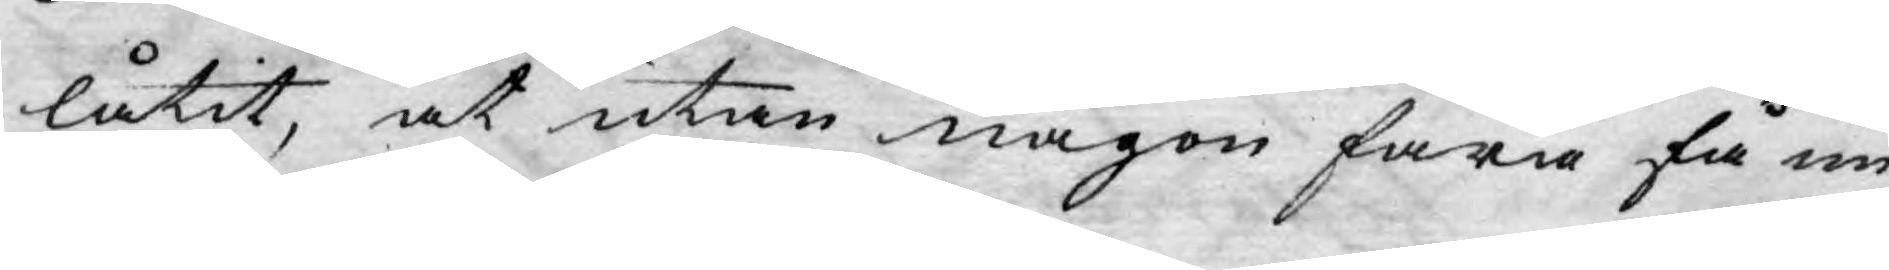låtit, at utan någon fara få un¬
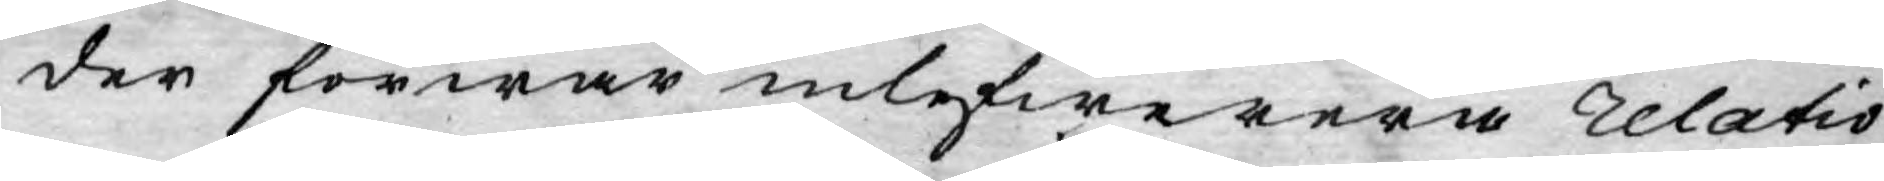der förwar inlefwerera relatio¬
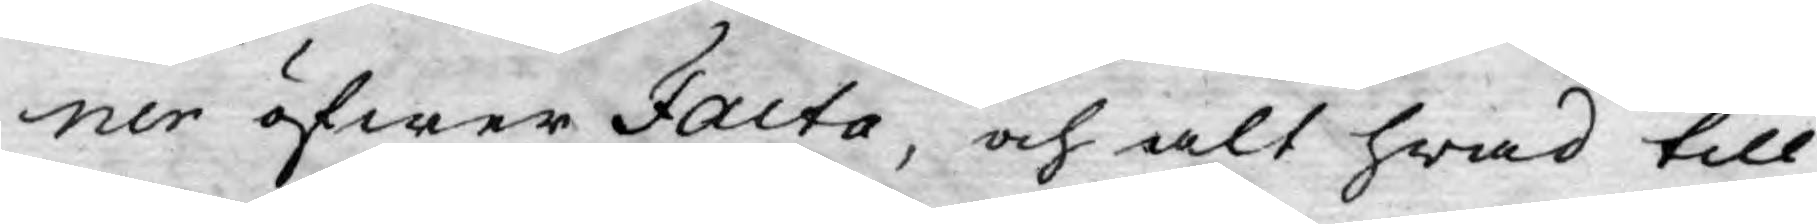ner öfwer Facta, och alt hwad till
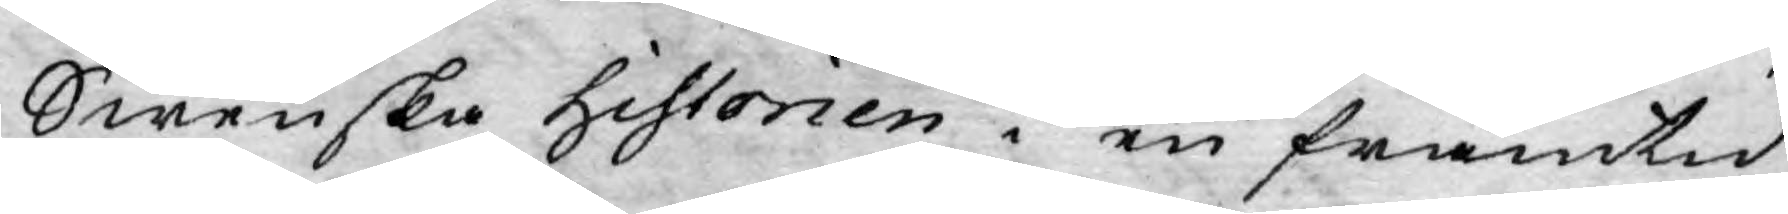Swenska Historien i en framtid
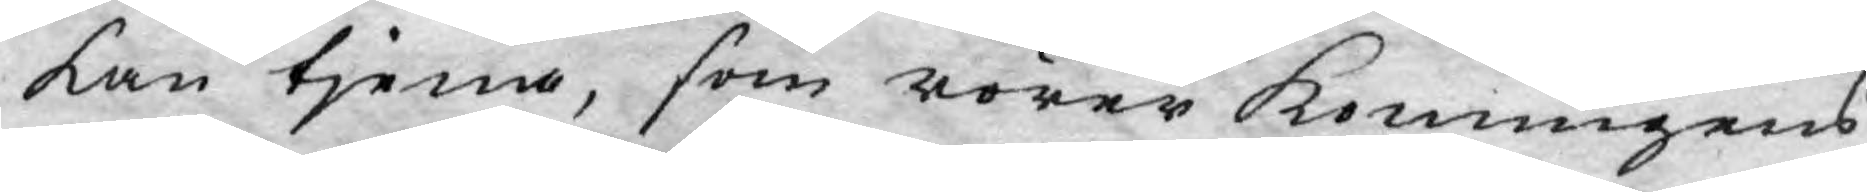kan tjena, som rörer Konungens
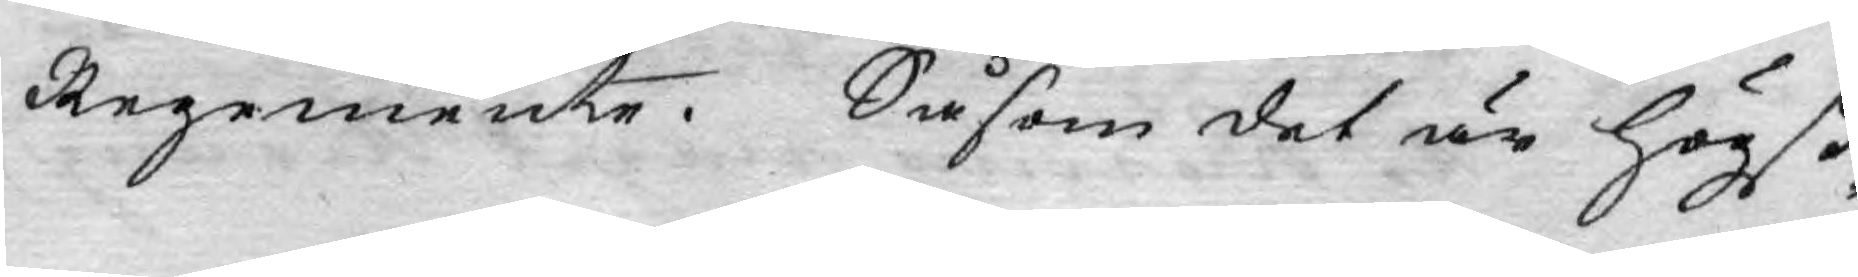Regemente. Såsom det är högst
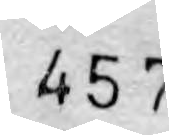457
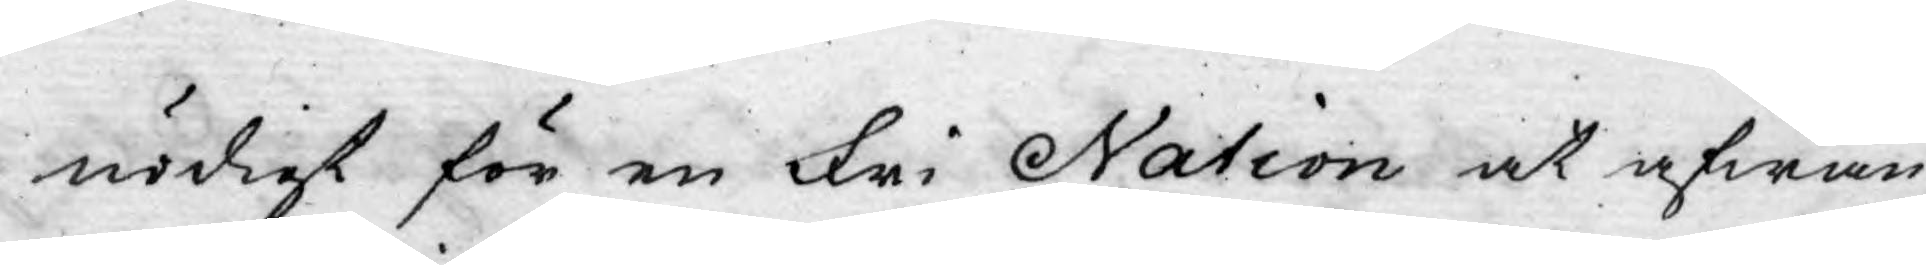nödigt för en Fri Nation at afwän¬
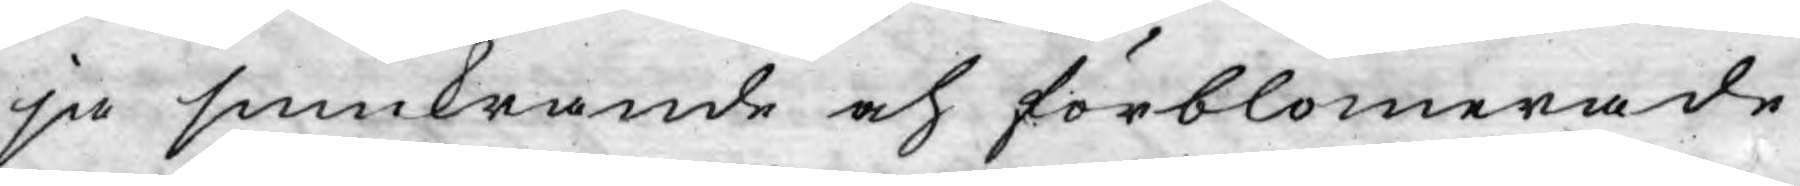ja smickrande och förblomerade
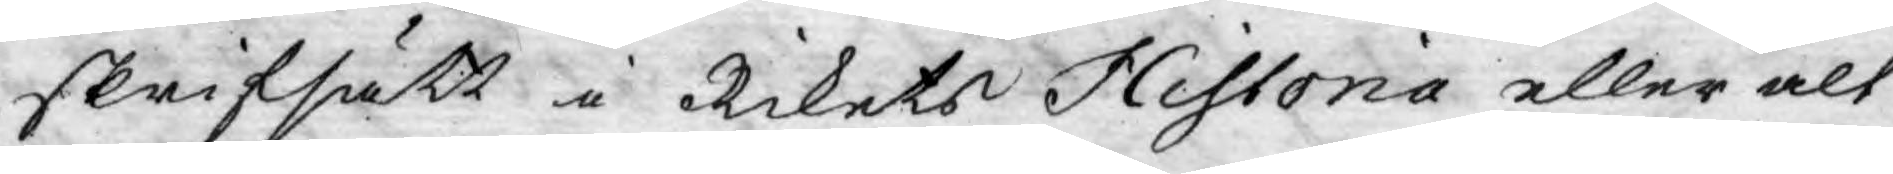skrifsätt i Rikets Historia eller alt
